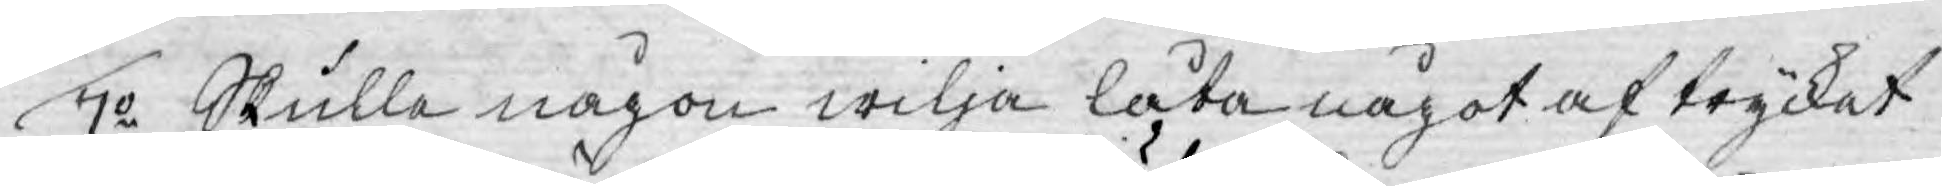7o Skulle någon wilja låta något af trycket
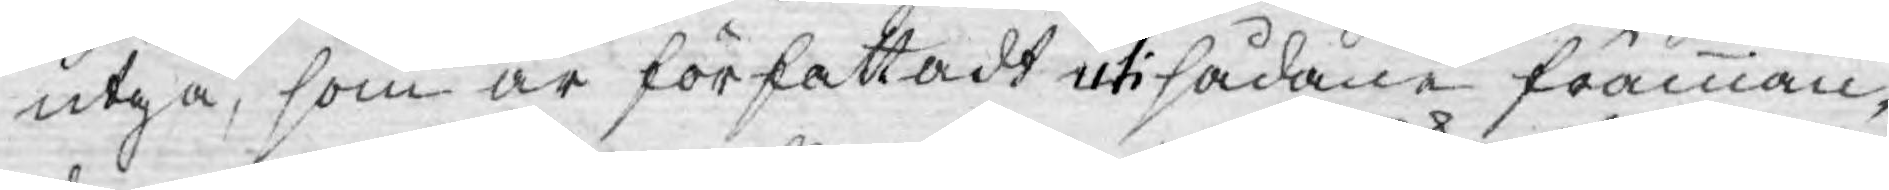utgå, som är författadt uti sådane främman¬
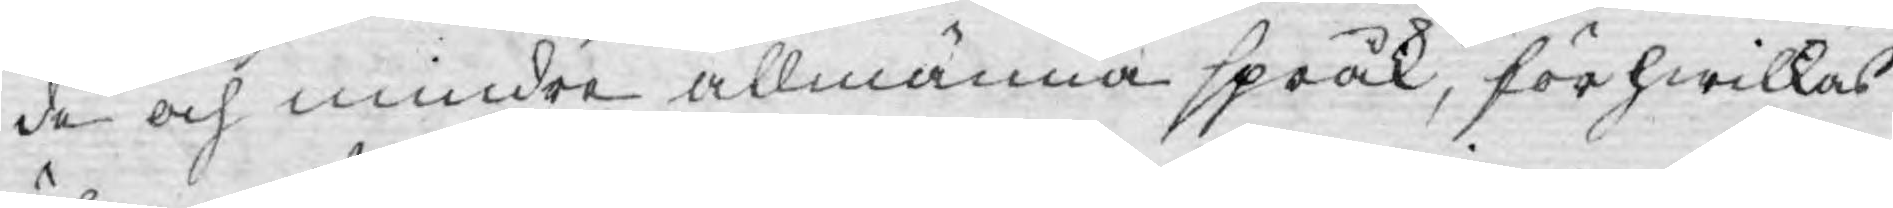de och mindre allmänna språk, för hwilkas
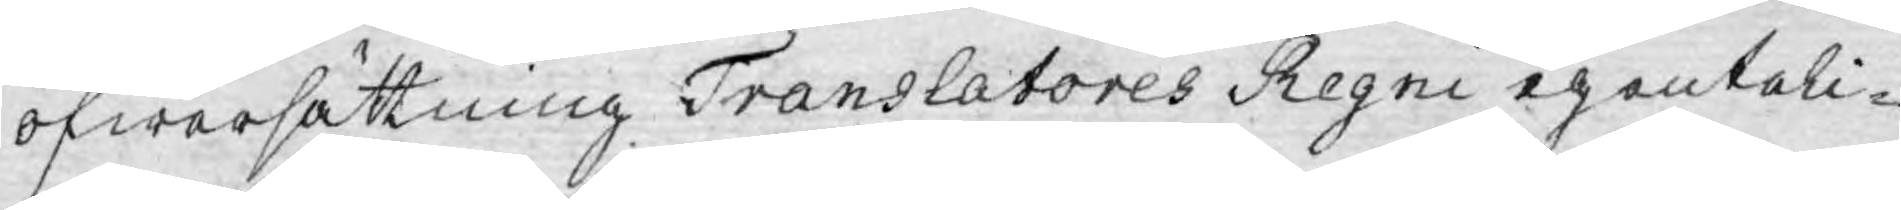öfwersättning Translatores Regni egenteli¬
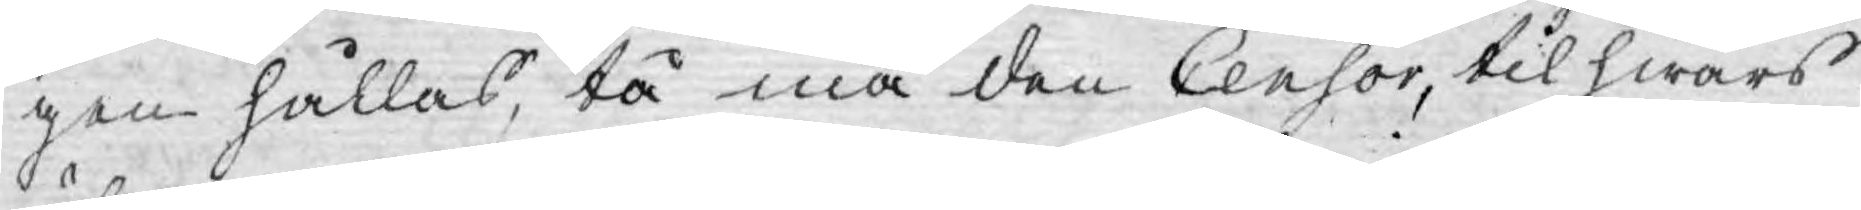gen hållas, tå må den Censor, til hwars
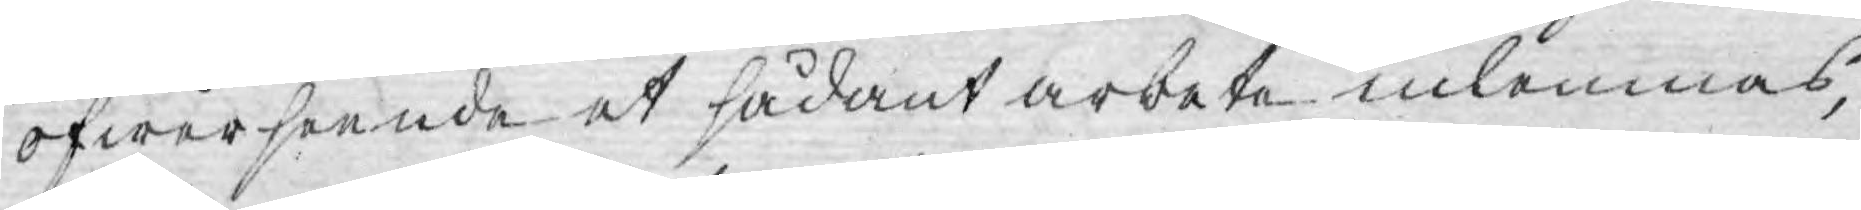öfwerseende et sådant arbete inlemnas,
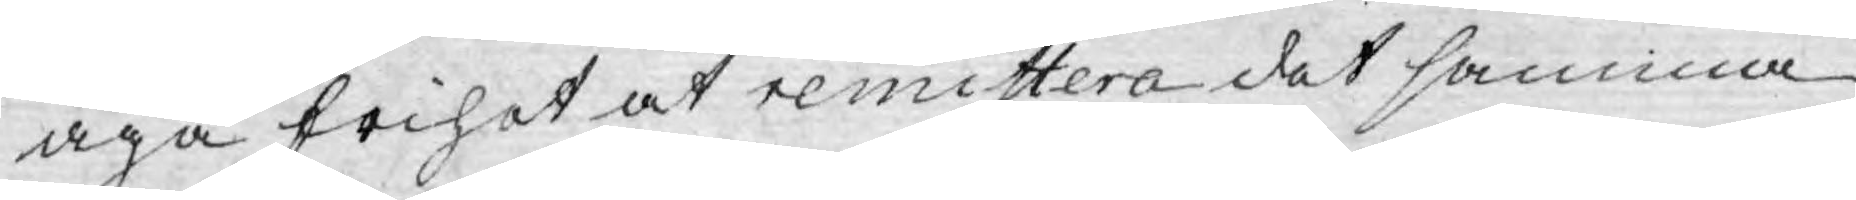äga frihet at remittera det samma
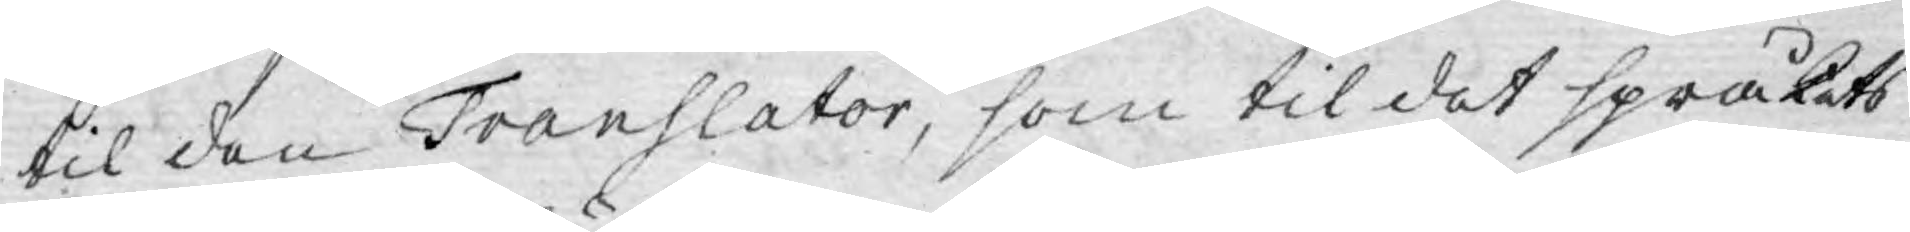til den Translator, som til det språkets
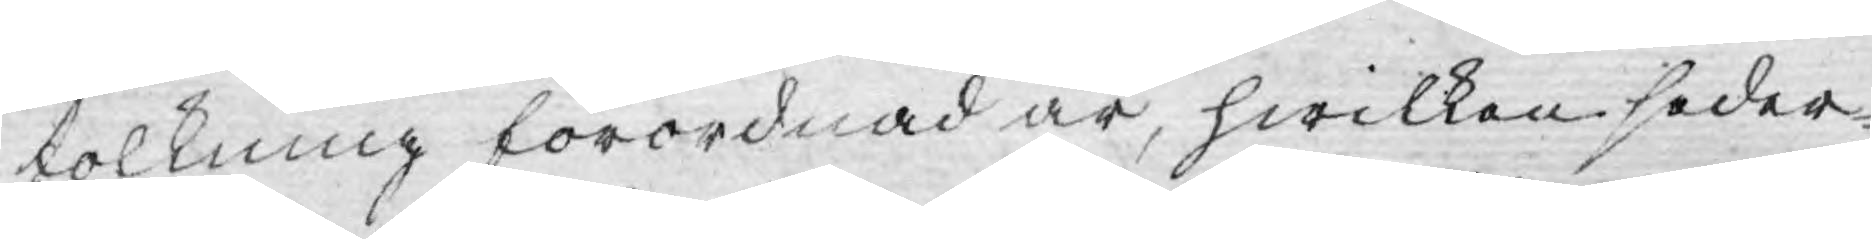tolkning förordnad är, hwilken seder¬
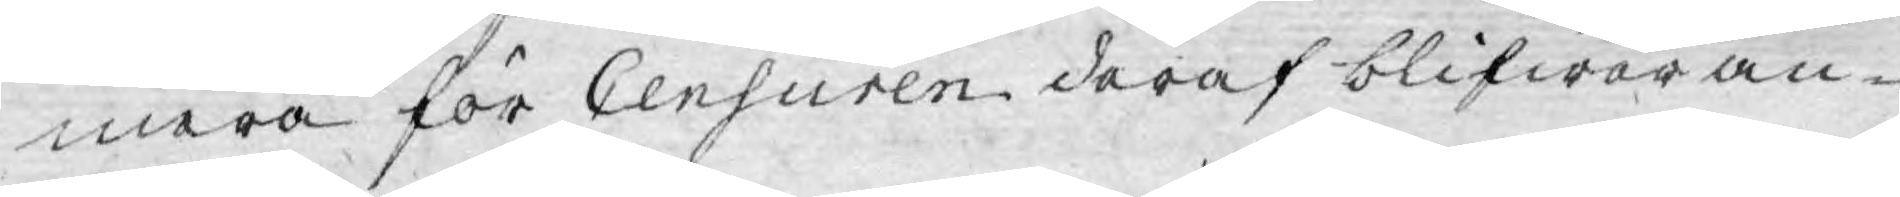mera för Censuren deraf blifwer an-
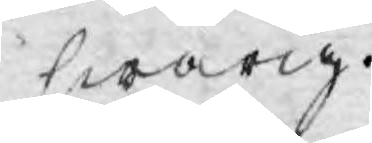swarig.
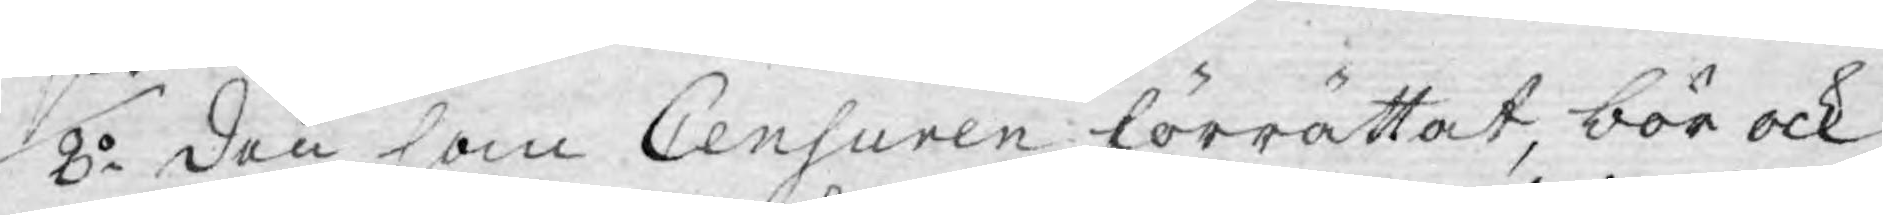8:o Den som Censuren förrättat, bör ock
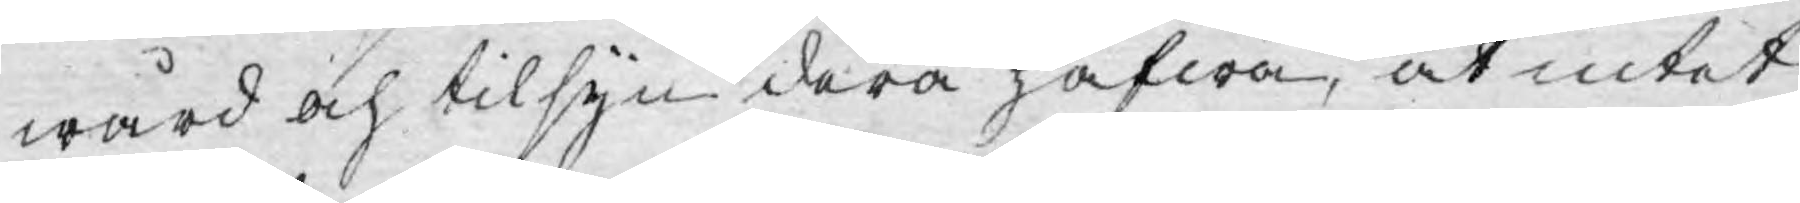wård och tilsyn derå hafwa, at intet
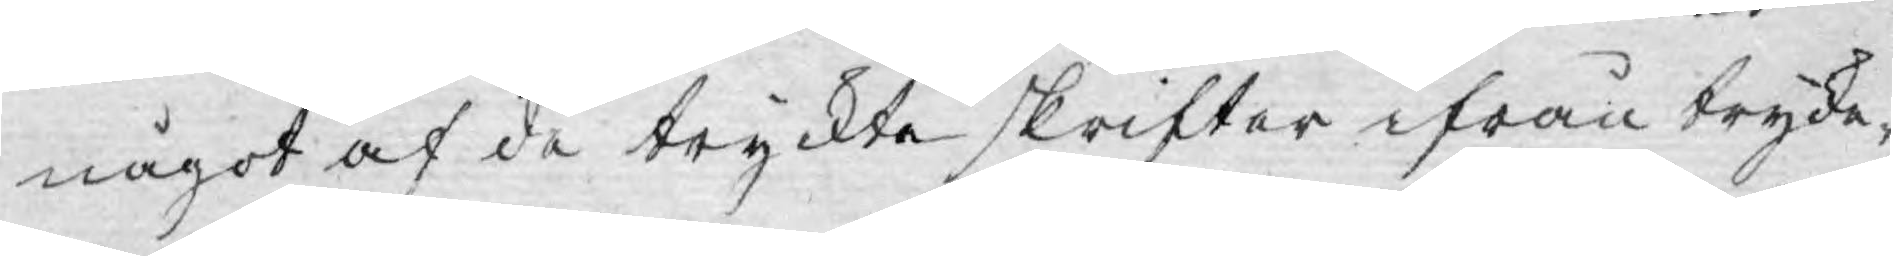något af de tryckte skrifter ifrån trycke¬
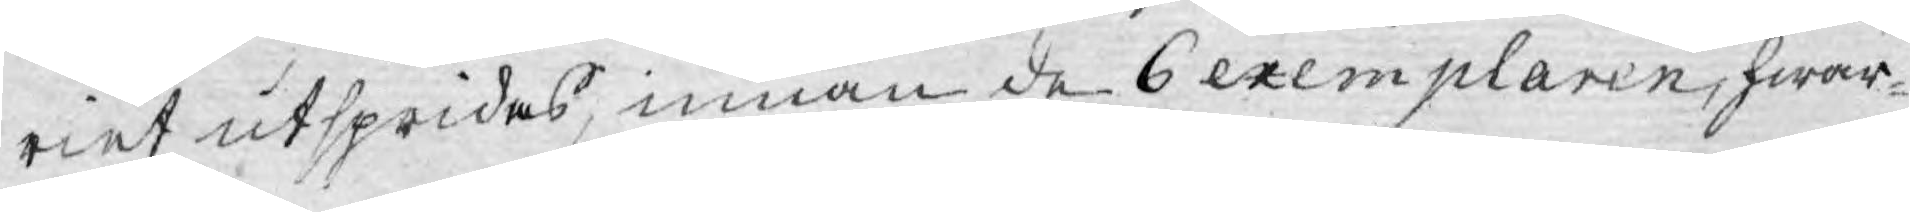riet utspridas, innan de 6 exemplaren, hwar¬
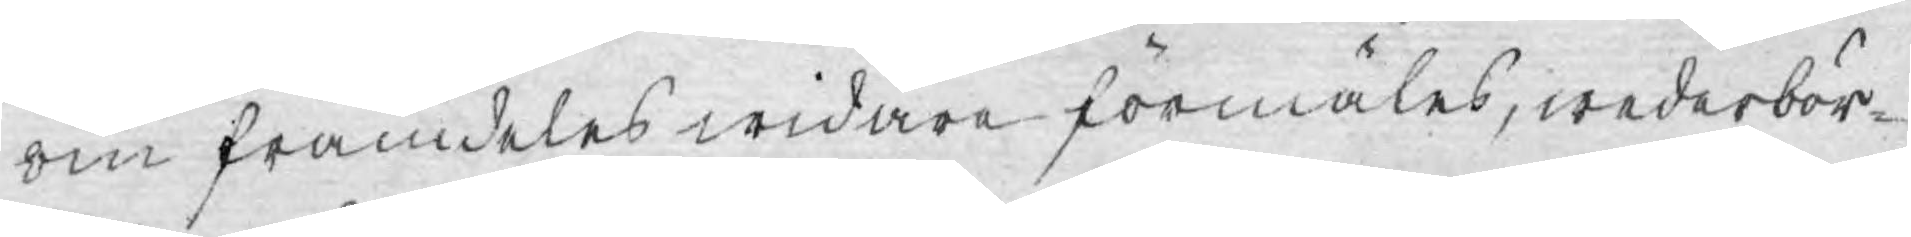om framdeles widare förmäles, wederbör¬
